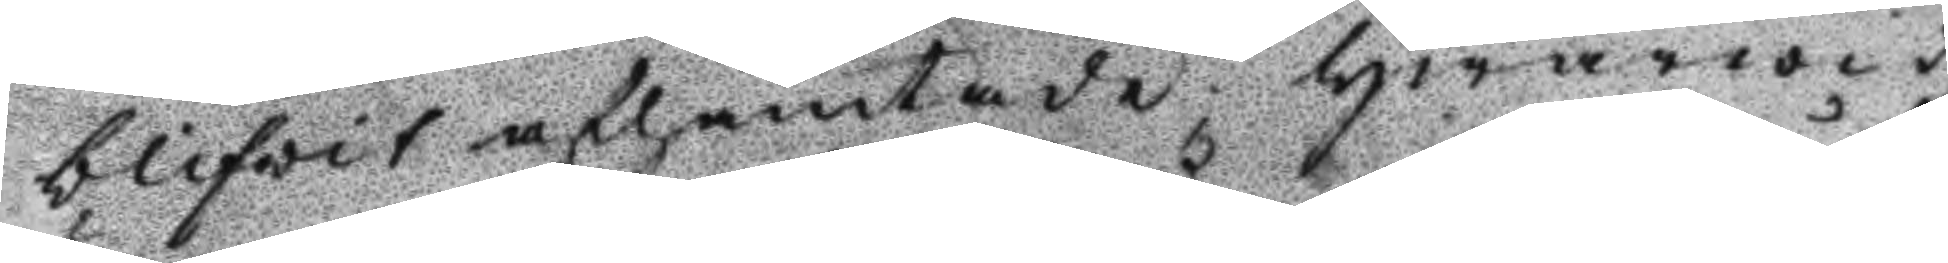blifwit afhämtade hwarwid
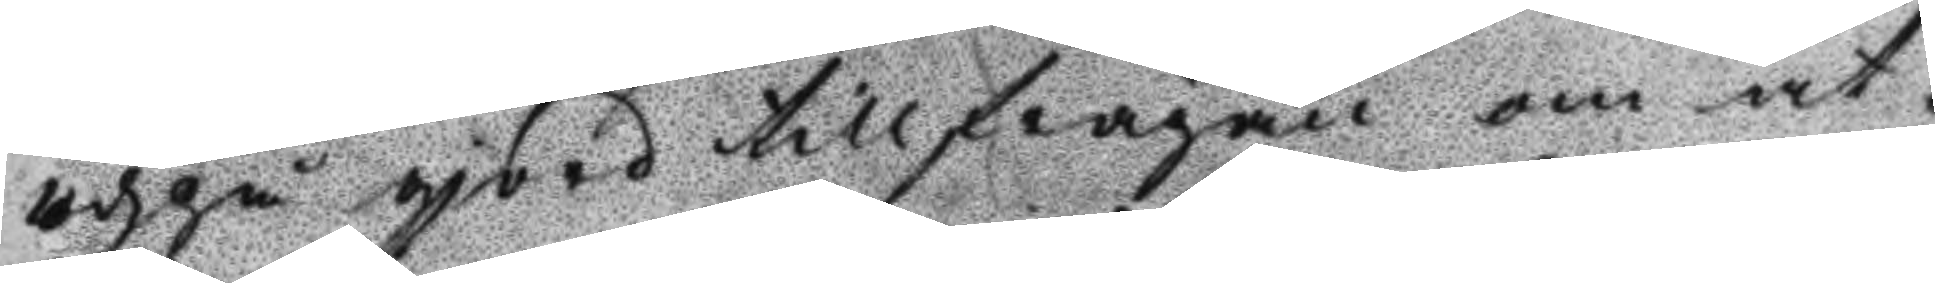udpå gjord tillfrågan om åt¬
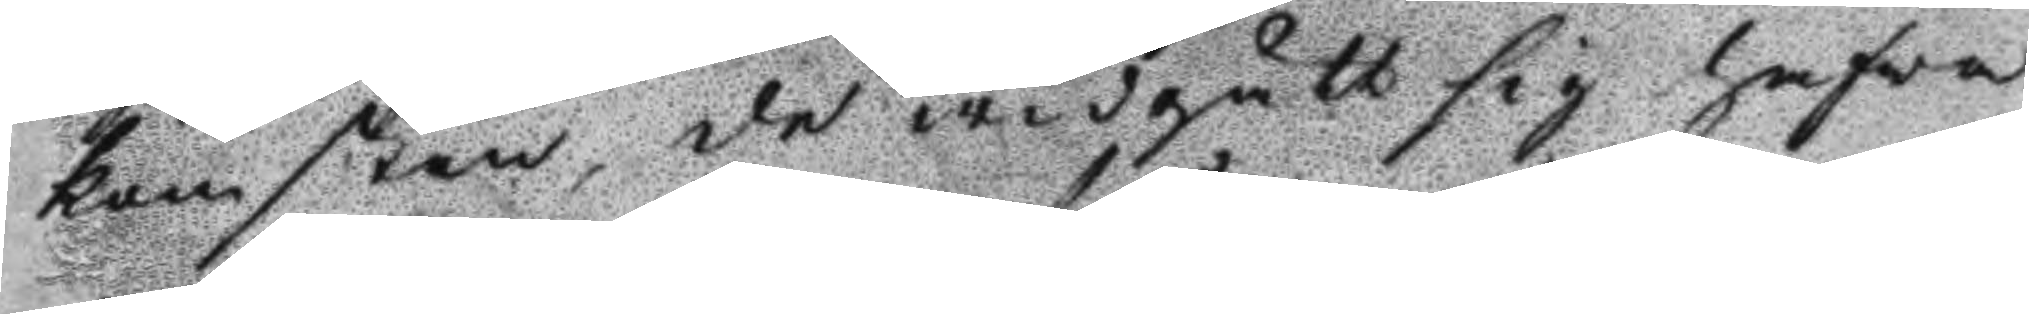komsten, de widgått sig hafwa
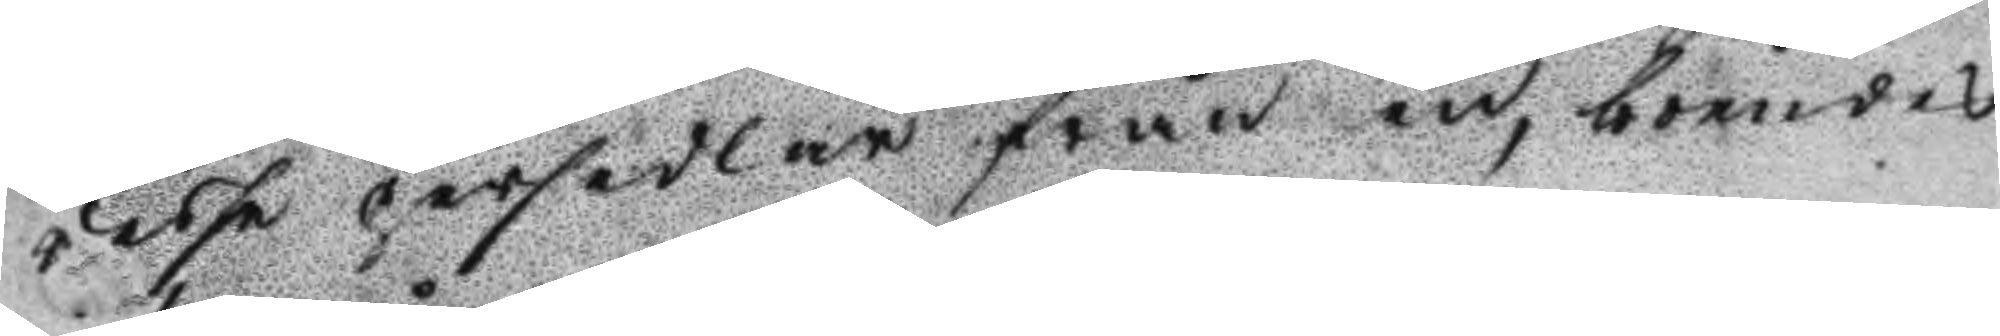desse persedlar från en, boendes
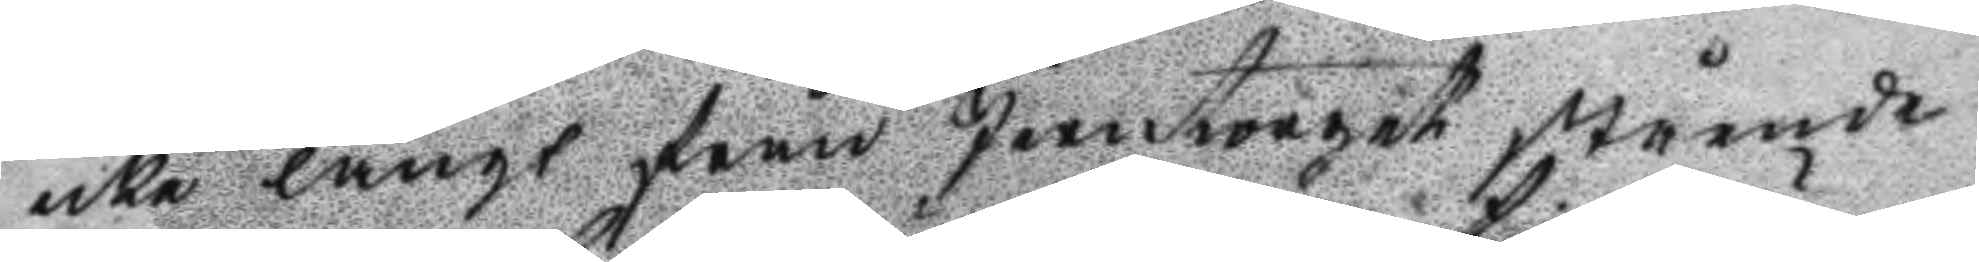icke långt från Jerntorget stående
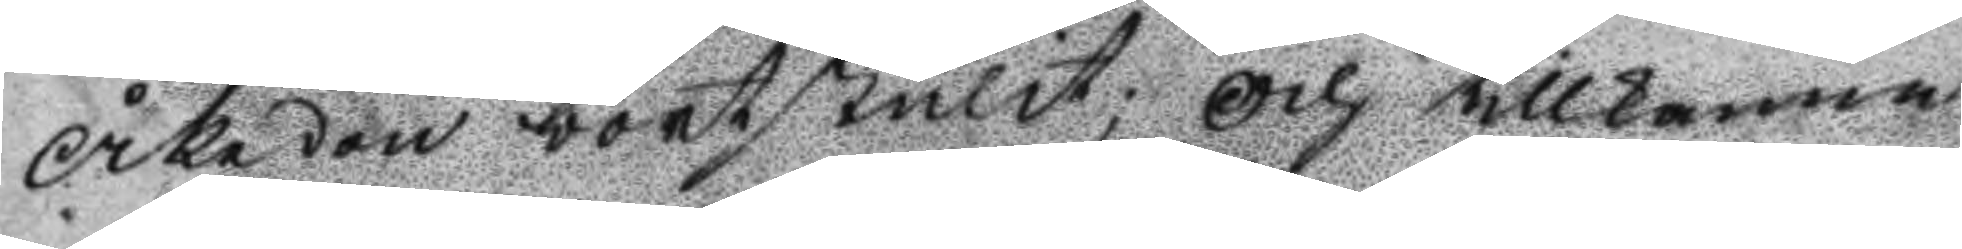Åkedon bortstulit; Och tillkänna
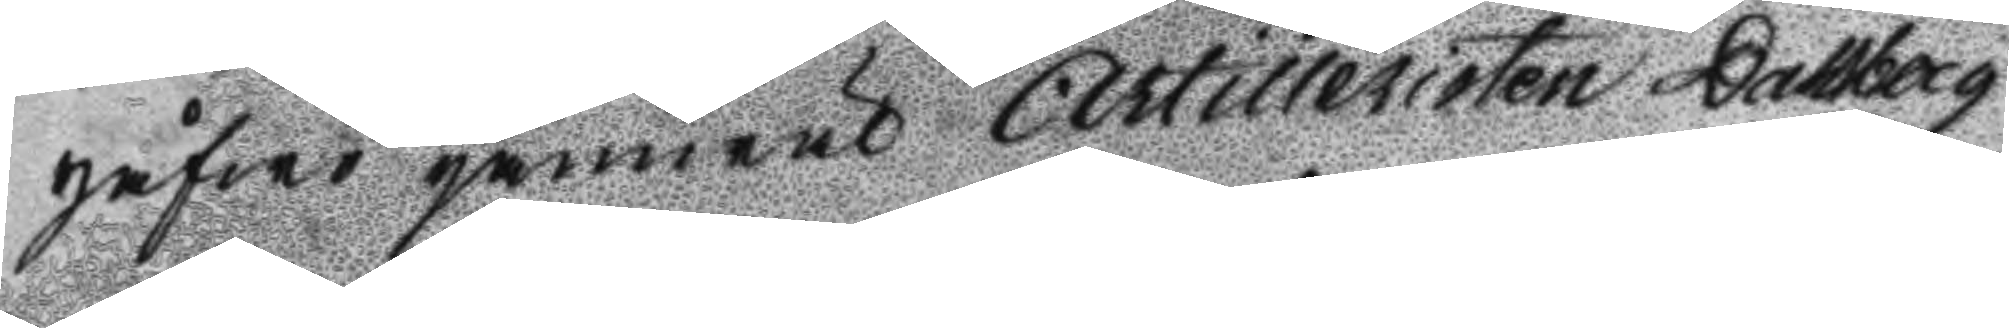gåfwo jämwäl Artilleristen Dahlberg
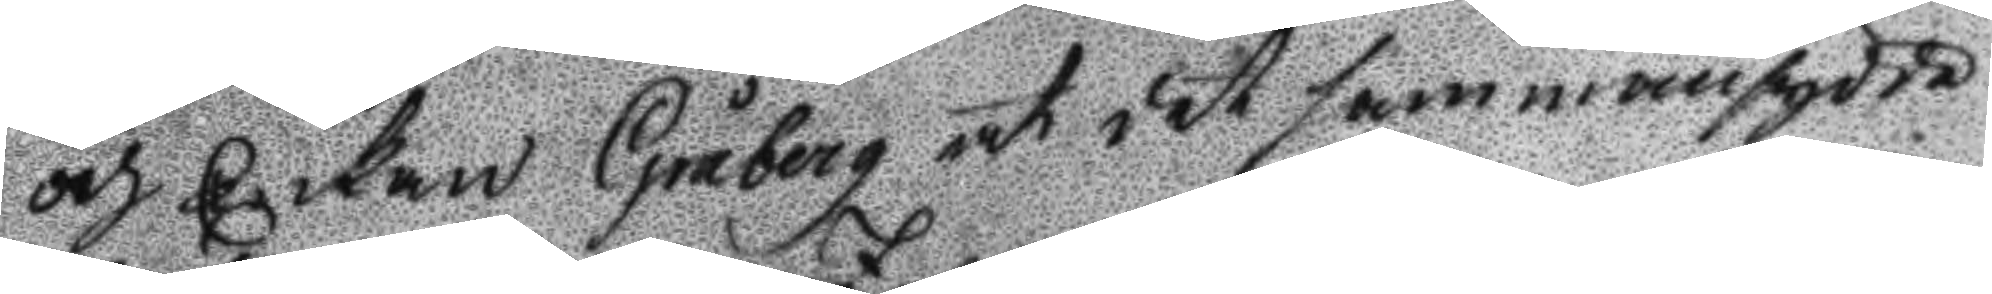och Enkan Gråberg at det sammansydde
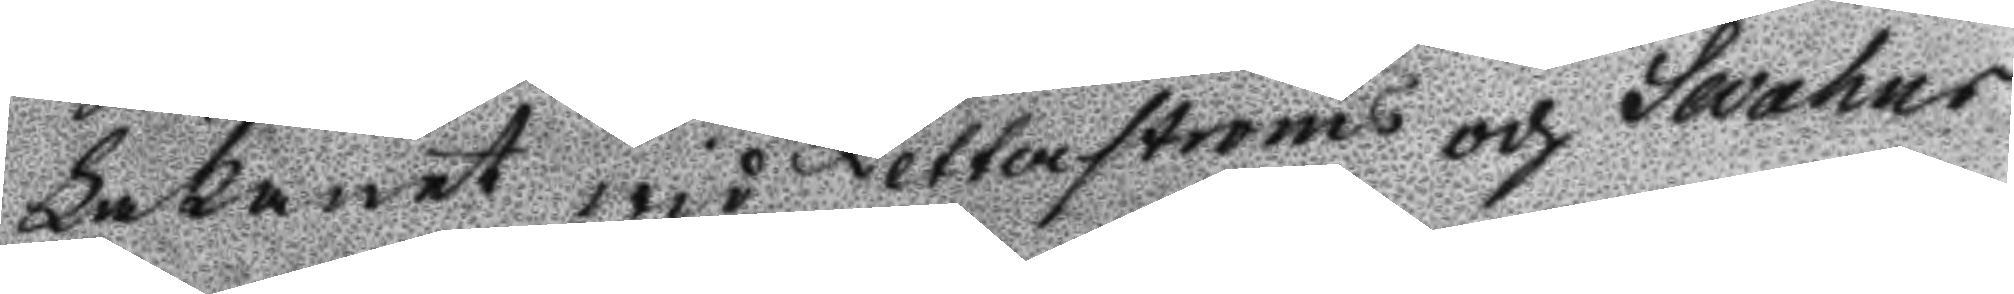Lakanet wid Zetterströms och Swahns
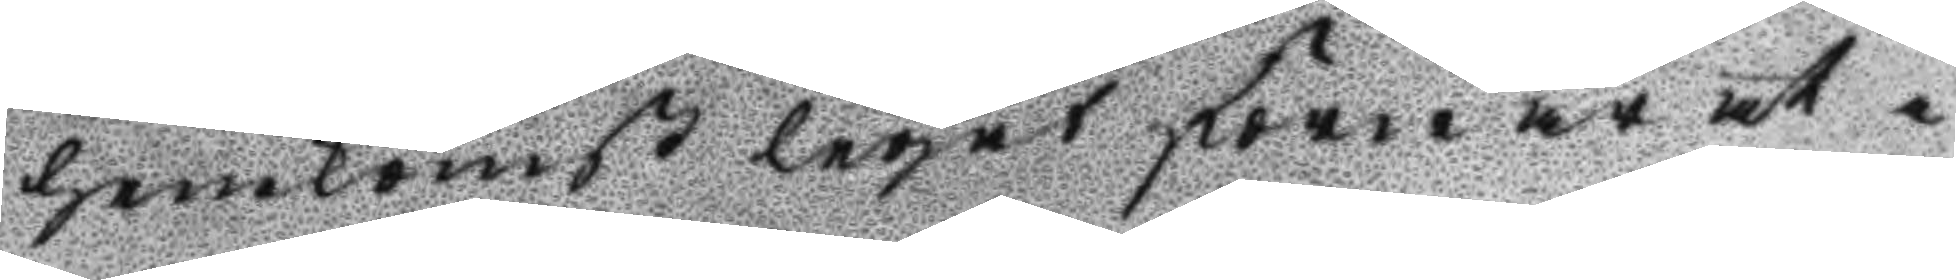hemkomst legat format at i 
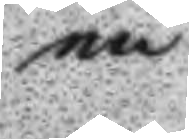en
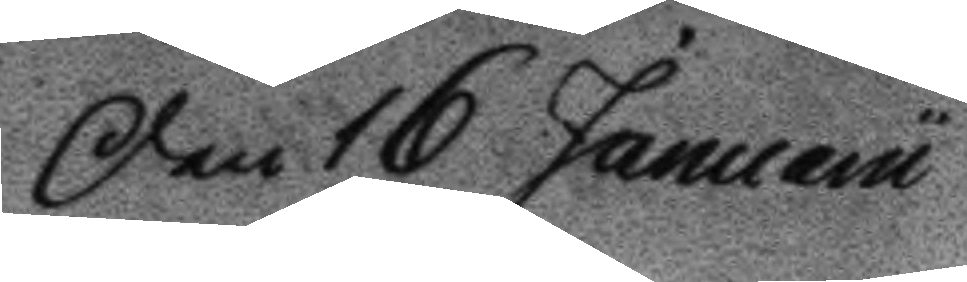en 16 Januarii
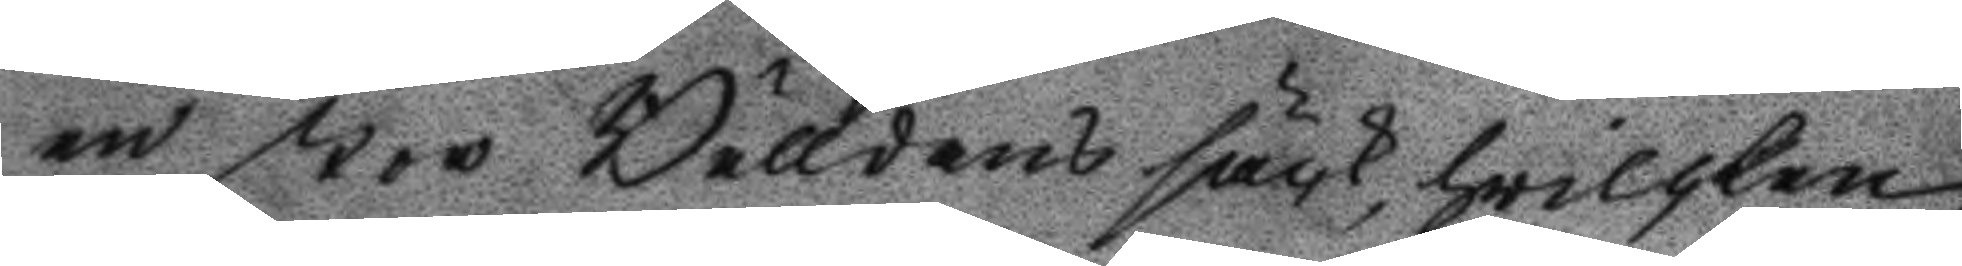en stor Bälldans säck, hwilken
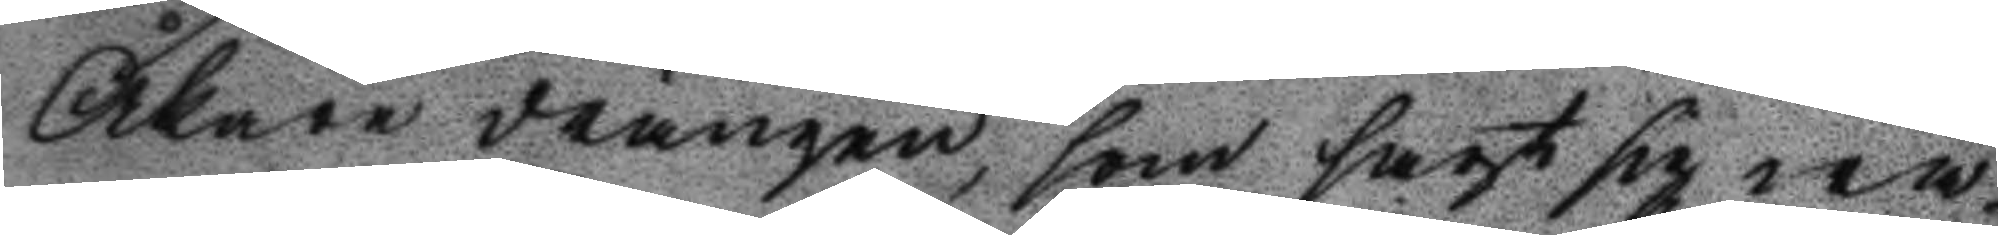Åkare drängen, som sagt sig wa¬
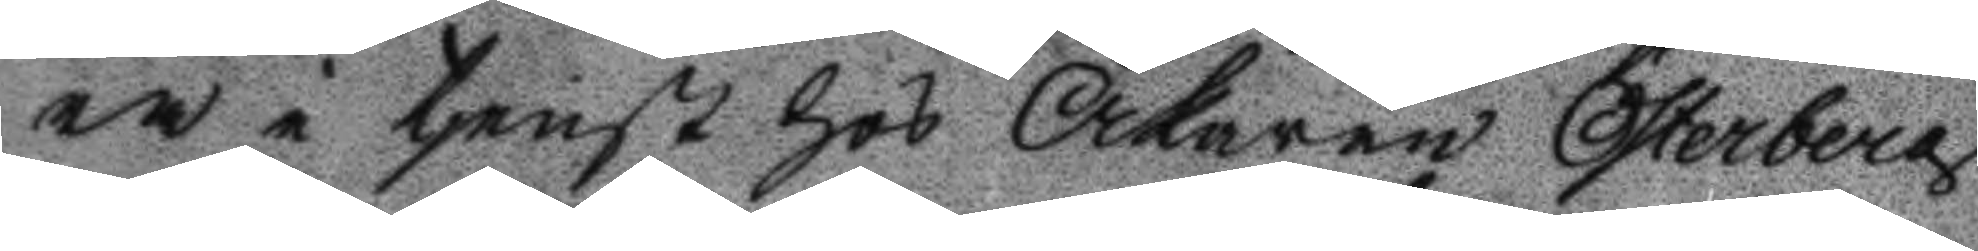ra i tjenst hos Åkaren Österberg
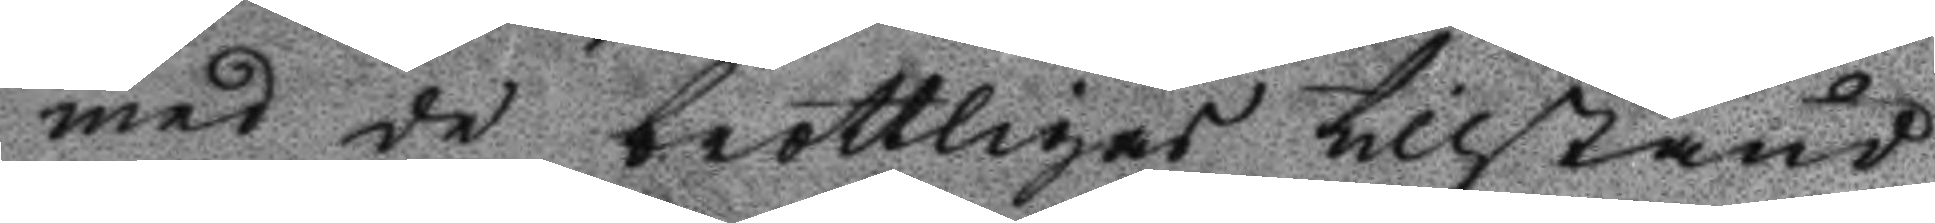med de brottligas tillstånd
